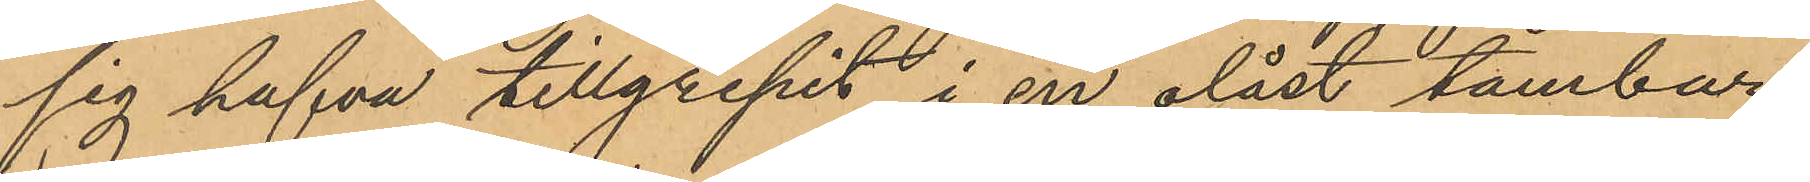sig hafva tillgripit i en olåst tambur;
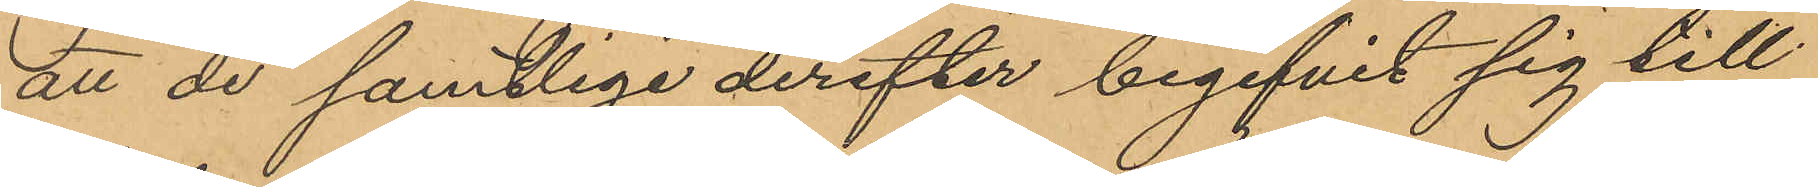att de samtlige derefter begifvit sig till
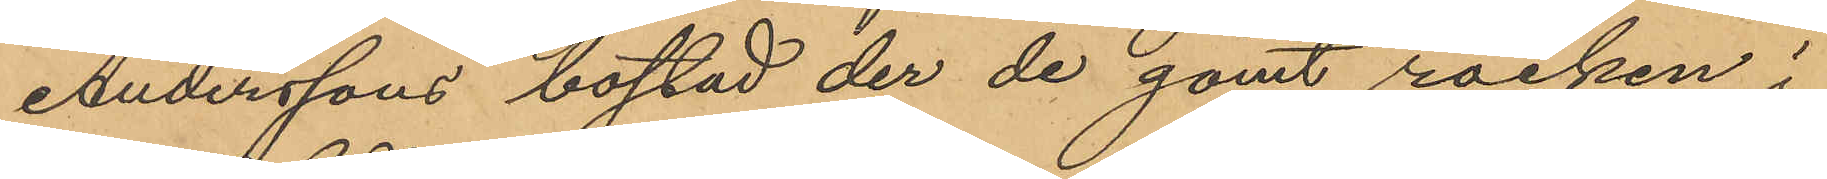Anderssons bostad der de gömt rocken i
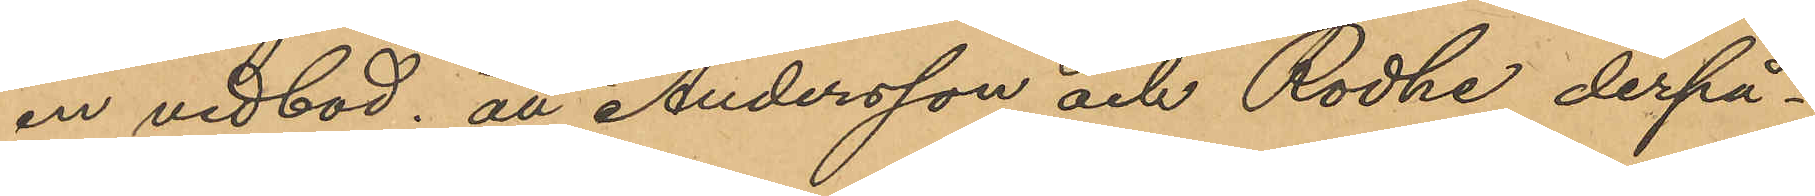en vedbod; att Andersson och Rodhe derpå¬
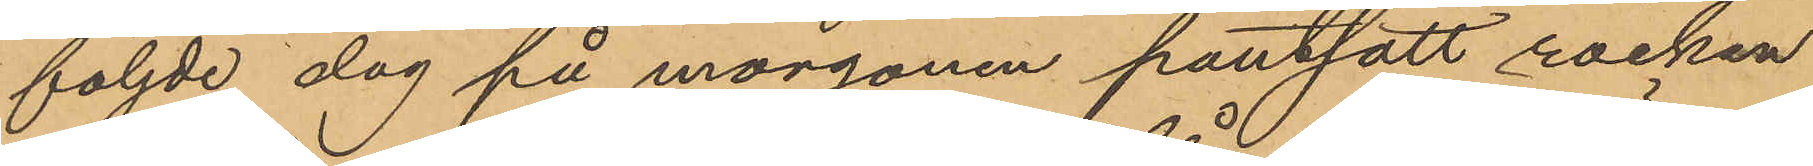följde dag på morgonen pantsatt rocken
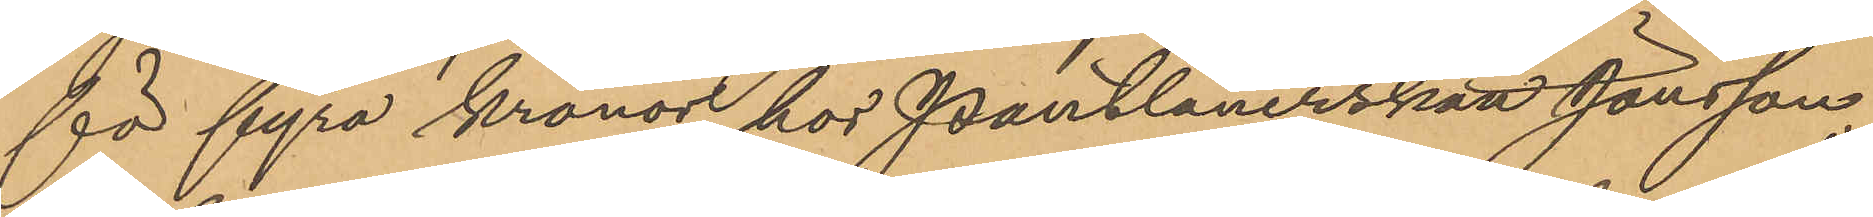för fyra kronor hos Pantlånerskan Jonsson;
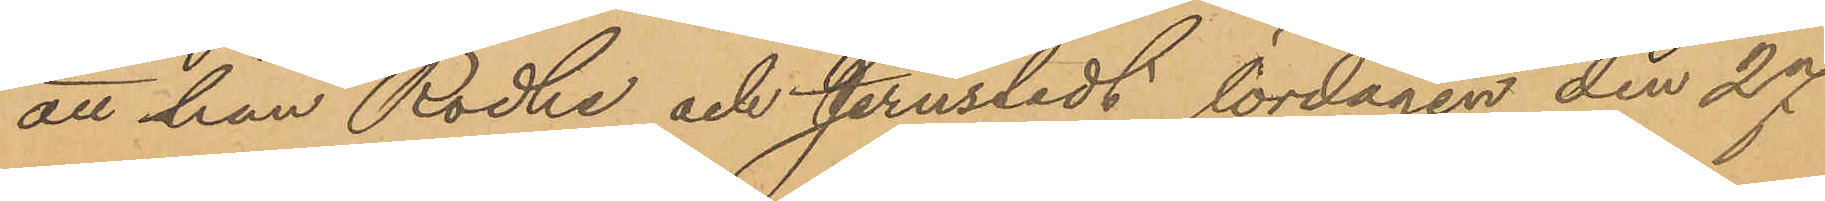att han, Rodhe och Jernsledt lördagen den 27
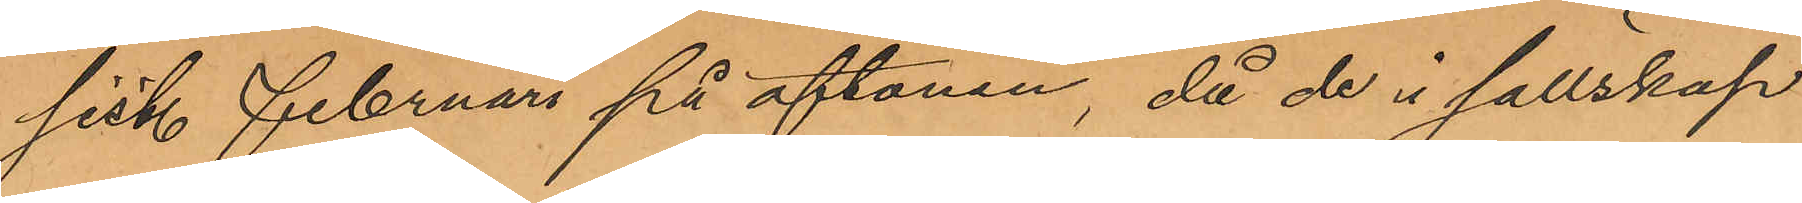sist. Februari på aftonen, då de i sällskap
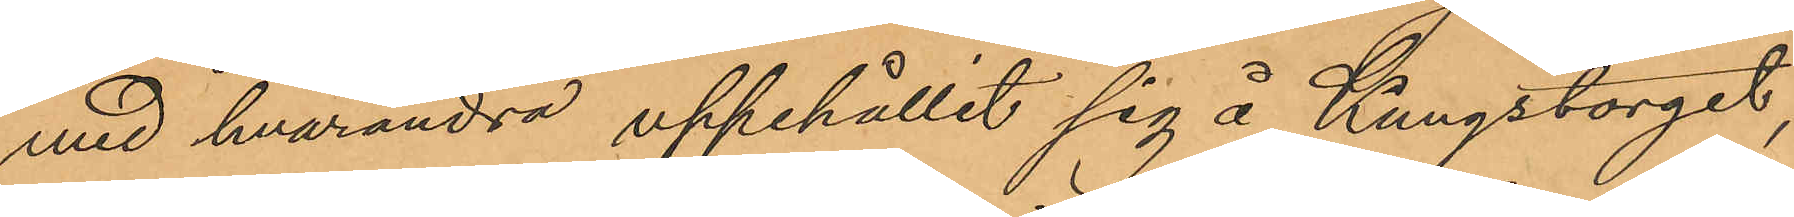med hvarandra uppehållit sig å Kungstorget,
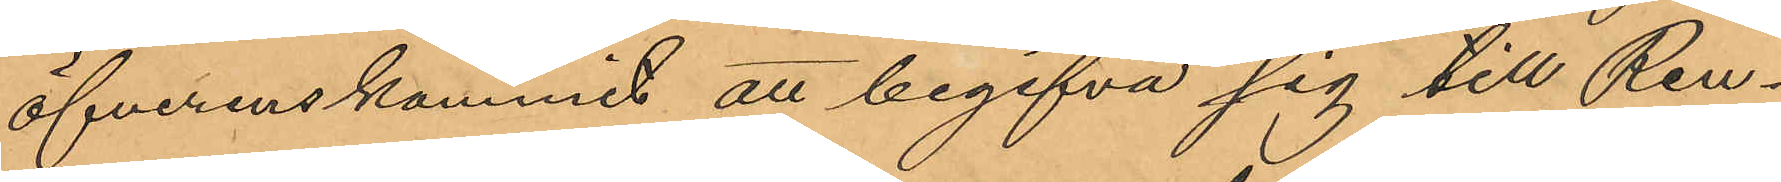öfverenskommit att begifva sig till Ren¬
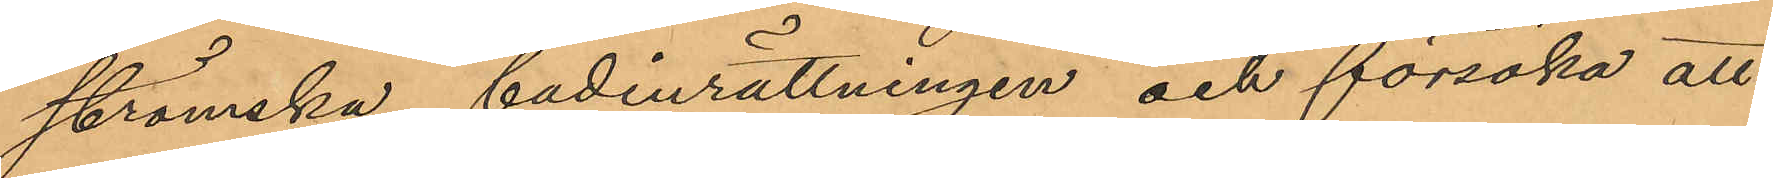strömska badinrättningen och försöka att
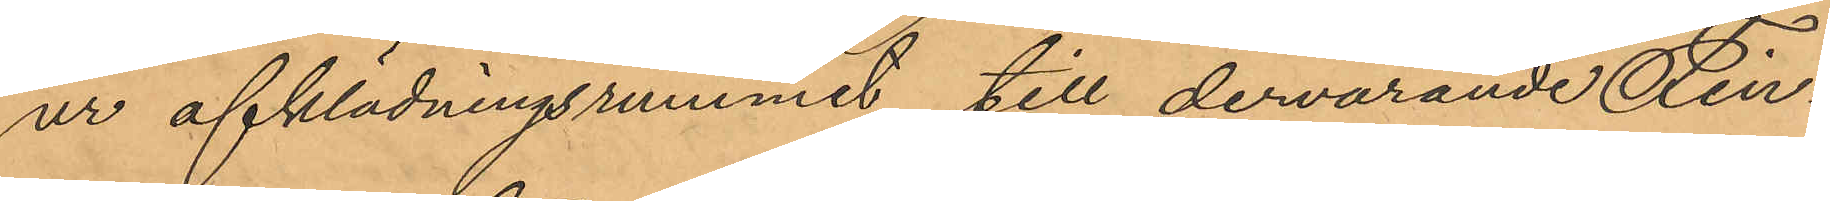ur afklädningsrummet till dervarande Fin¬
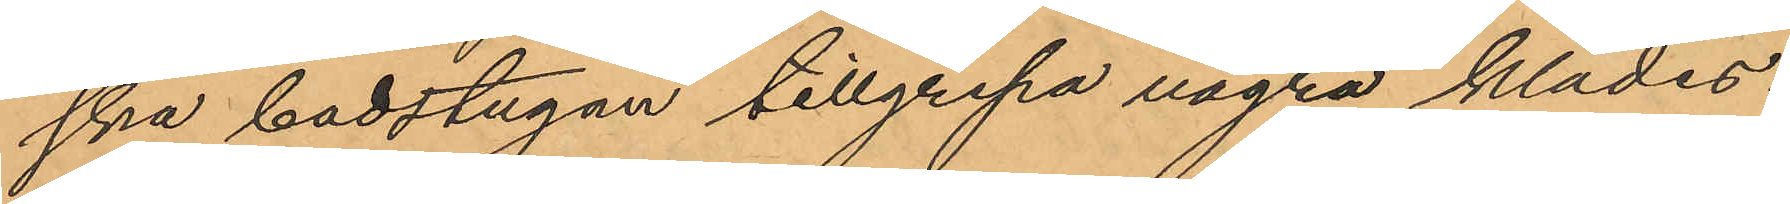ska badstugan tillgripa några klädes¬
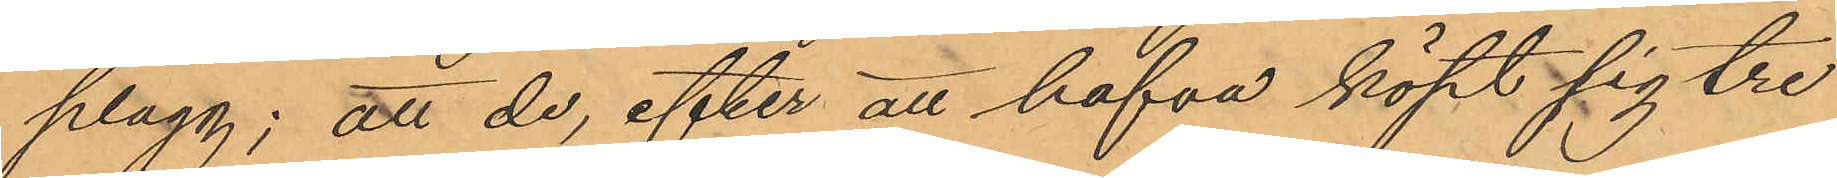plagg; att de, efter att hafva köpt sig tre
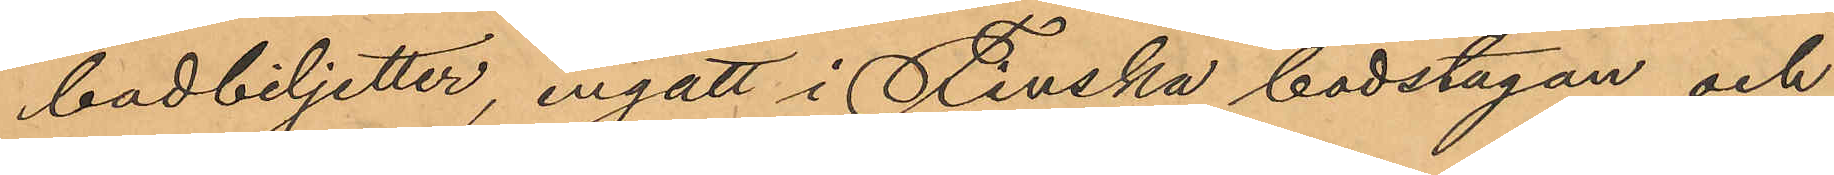badbiljetter, ingått i Finska badstugan och
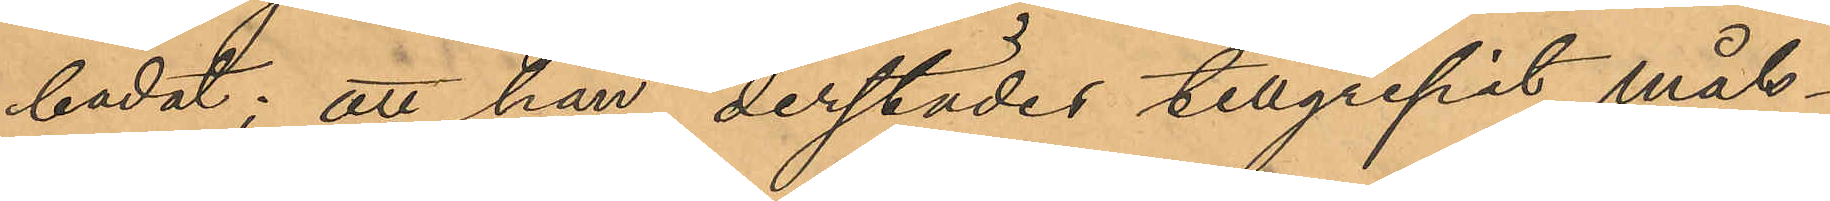badat; att han derstädes tillgripit måls¬
